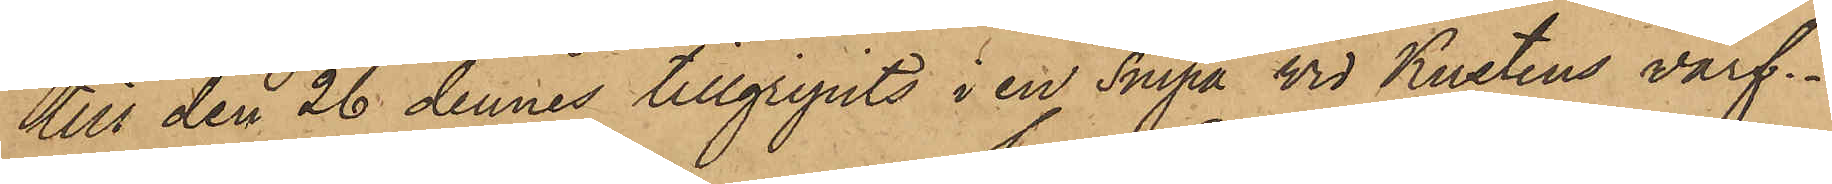till den 26 dennes tillgripits i en Snipa vid Kustens varf.
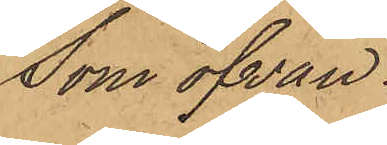Som ofvan.
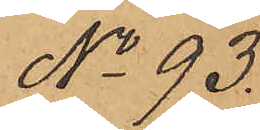No 93.
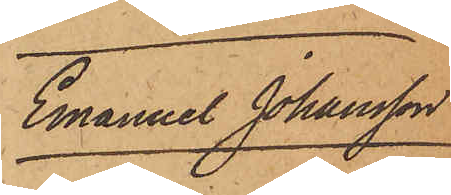Emanuel Johansson
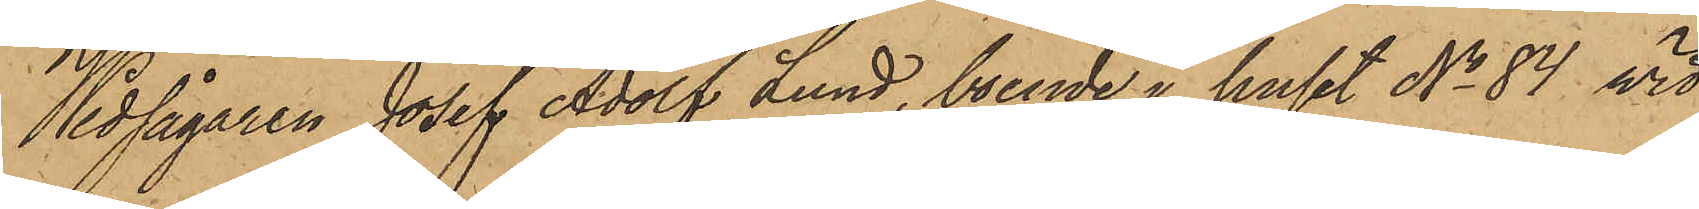Wedsågaren Josef Adolf Lund, boende i huset No 84 vid
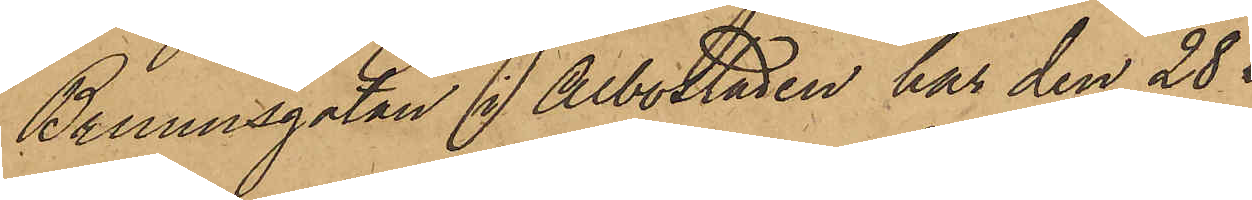Brunnsgatan i Albostaden har den 28 
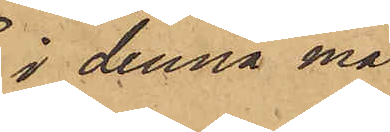i denna må¬
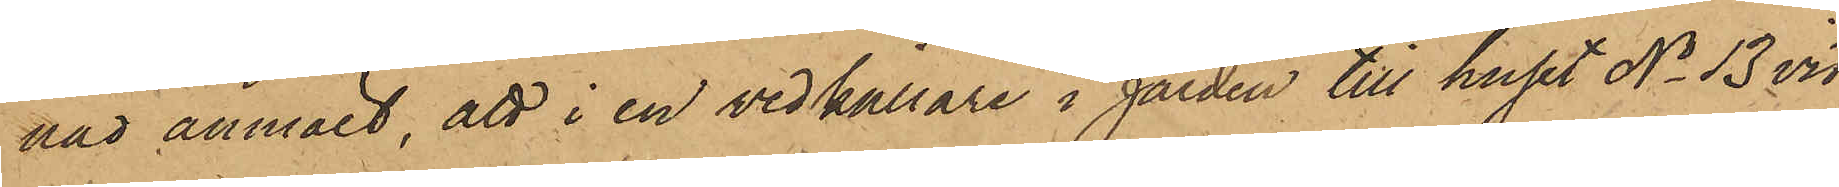nad anmält, att i en vedkällare i gården till huset No 13 vid
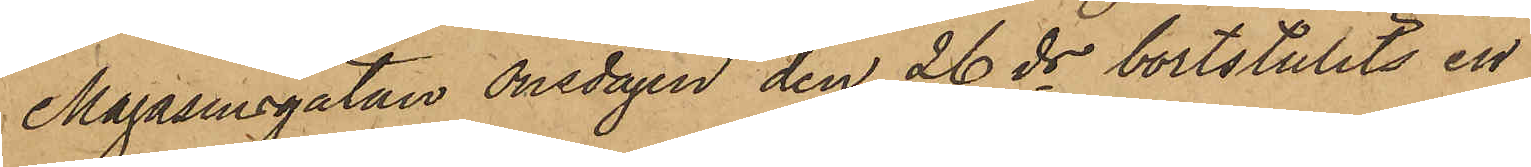Magasinsgatan Onsdagen den 26 ds bortstulits en
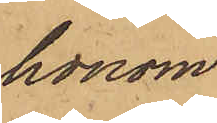honom
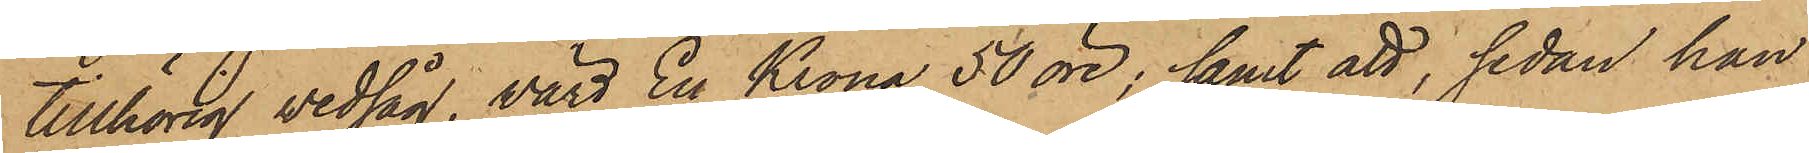tillhörig vedsåg, värd En Krona 50 öre; samt att, sedan han
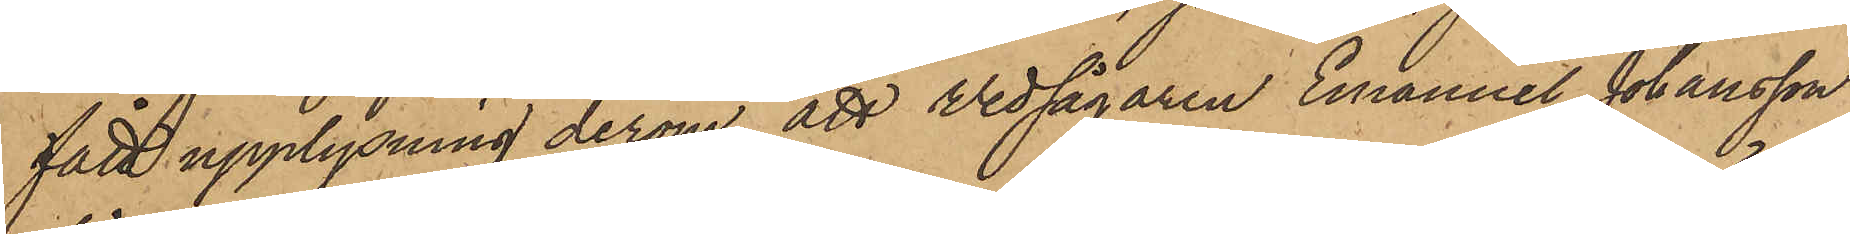fått upplysning derom, att Wedsågaren Emanuel Johansson
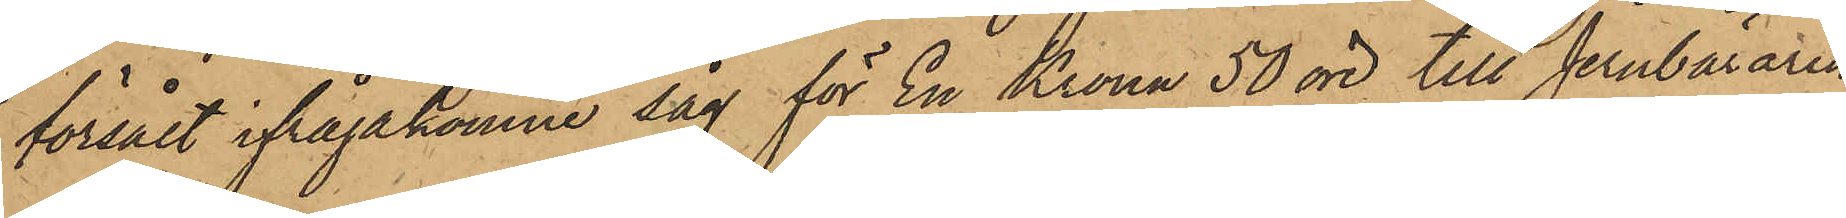försålt ifrågakomne dag för En Krona 50 öre till Jernbäraren
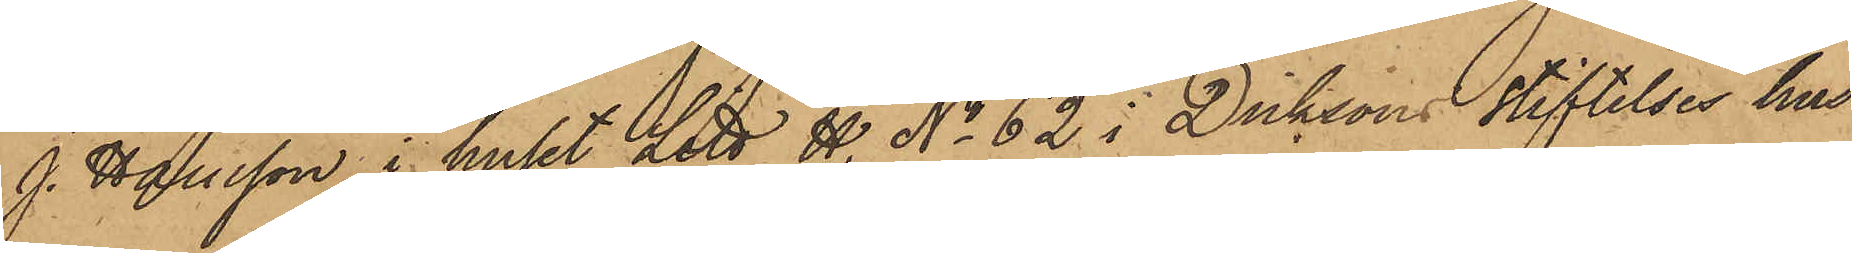J. Hansson i huset Litt H. No 62 i Dicksons Stiftelses hus
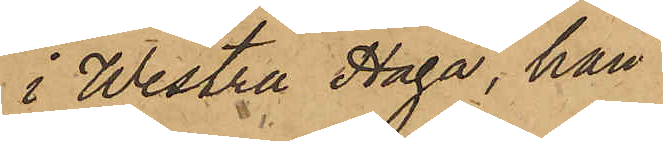i Westra Haga, han
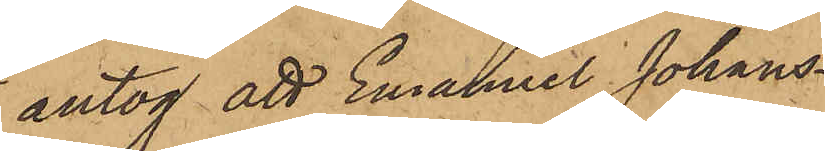antog att Emanuel Johans¬
